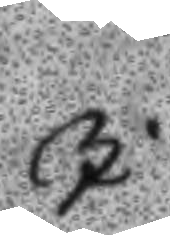I
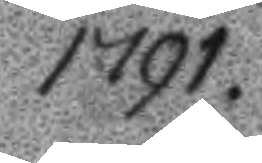1791.
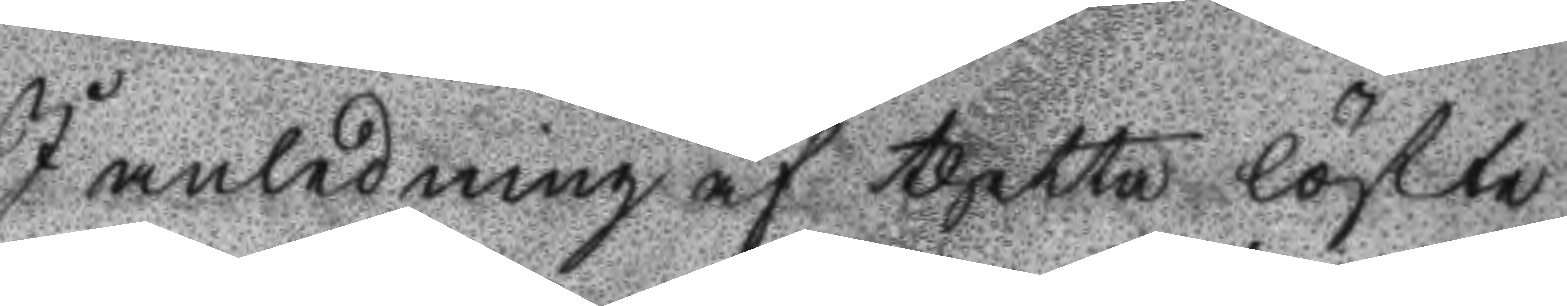I anledning af thetta löfte
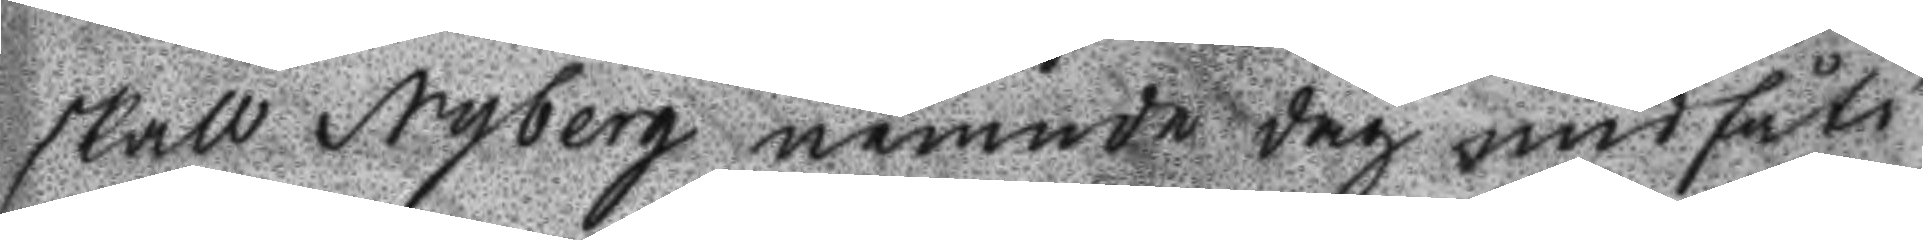skall Nyberg nemnde dag undfått
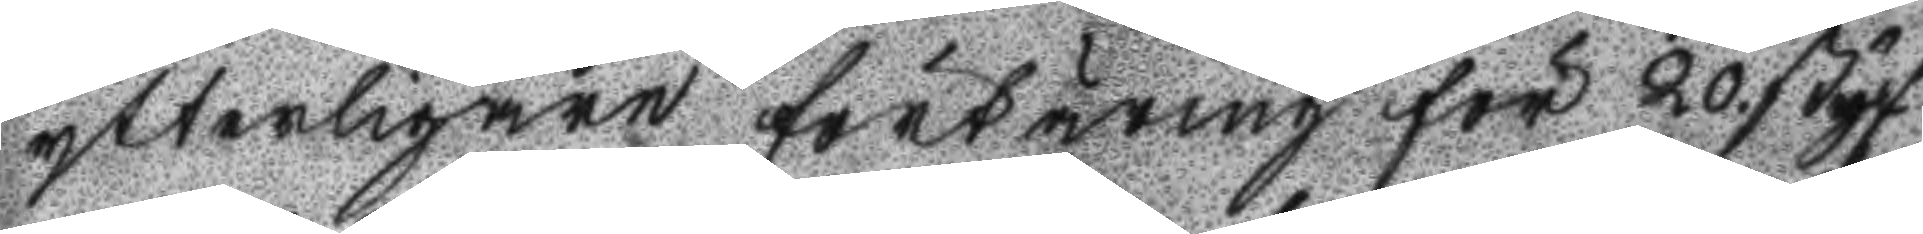ytterligare förtäring för 20 styf
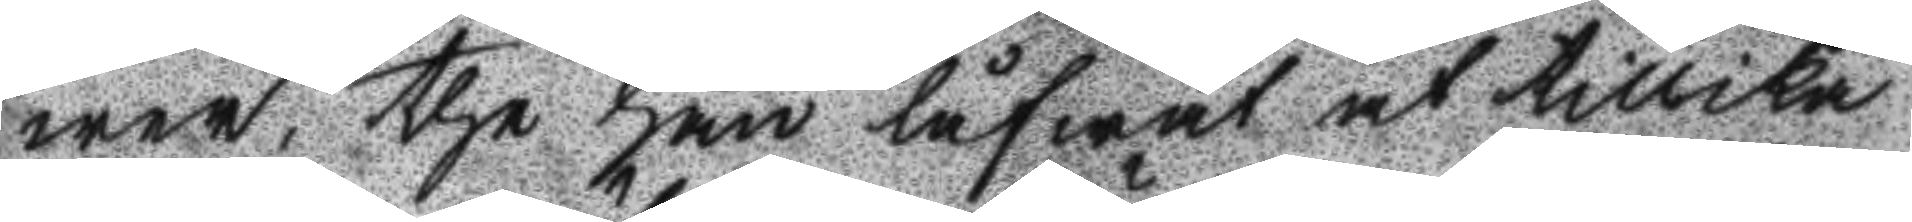wer, the han låfwat at tillika
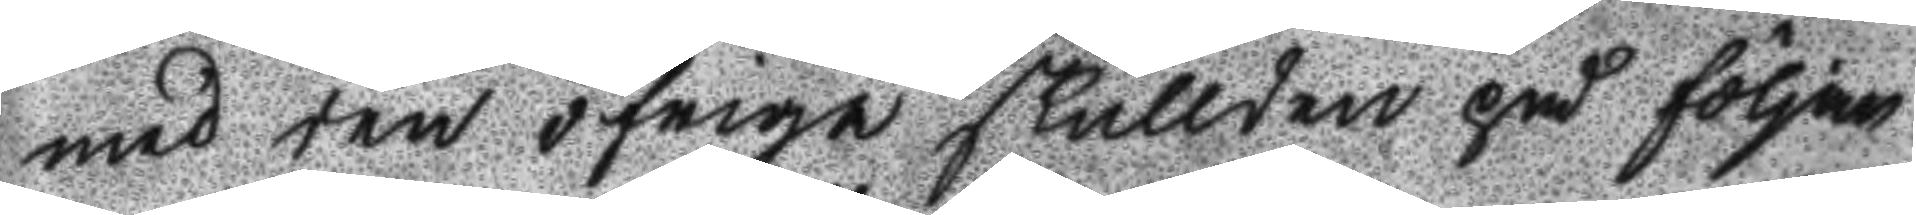med den öfrige skullden på följan
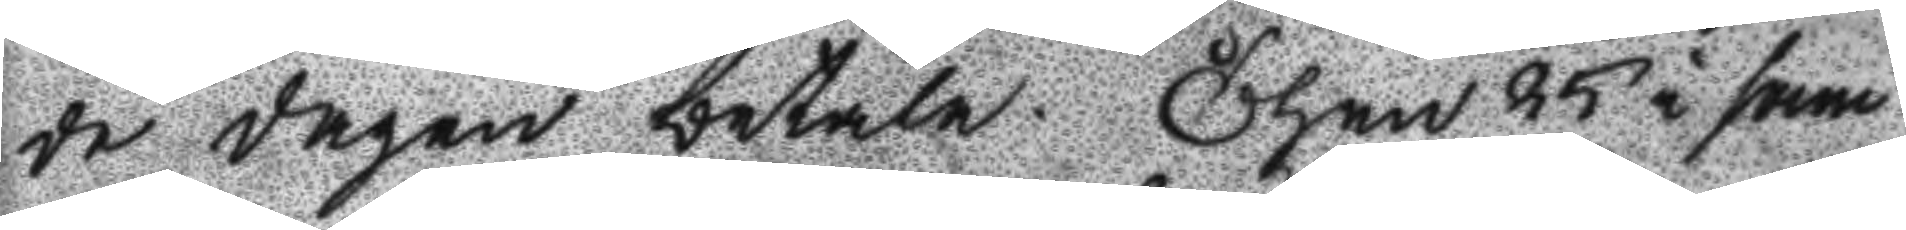de dagen betala. Then 25 i sam
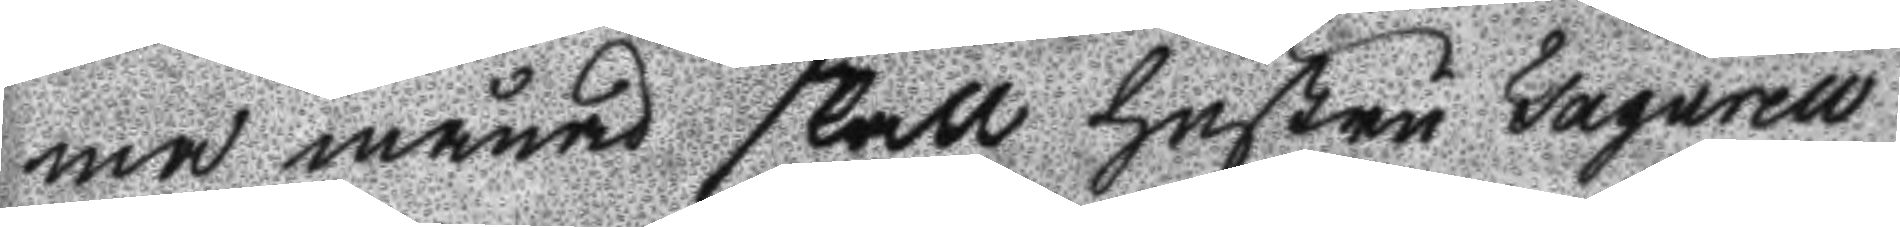ma månad skall Hustru Fagurell
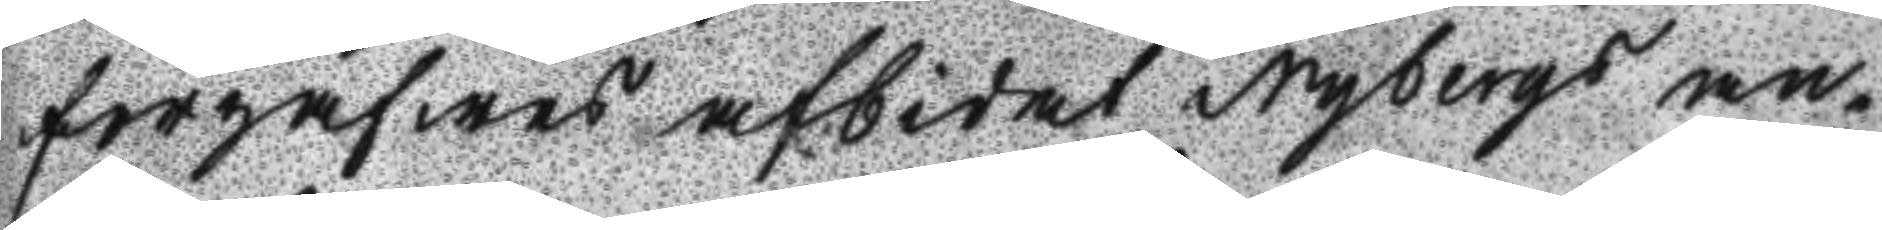förgäfwes afbidat Nybergs an¬
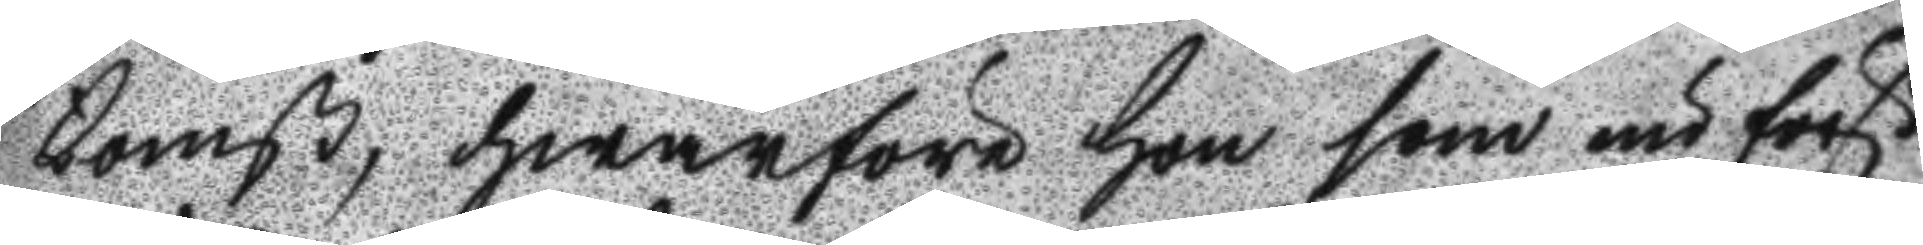komst, hwarföre hon som nu först
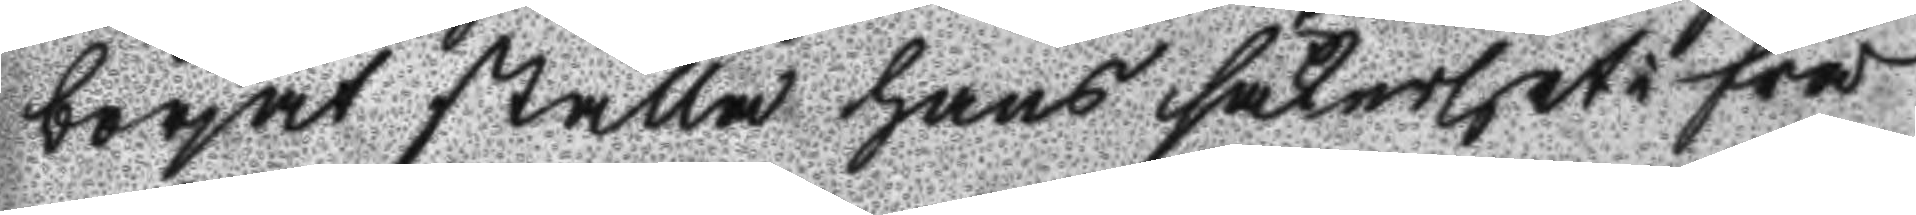börjat ställa hans säkerhet i frå
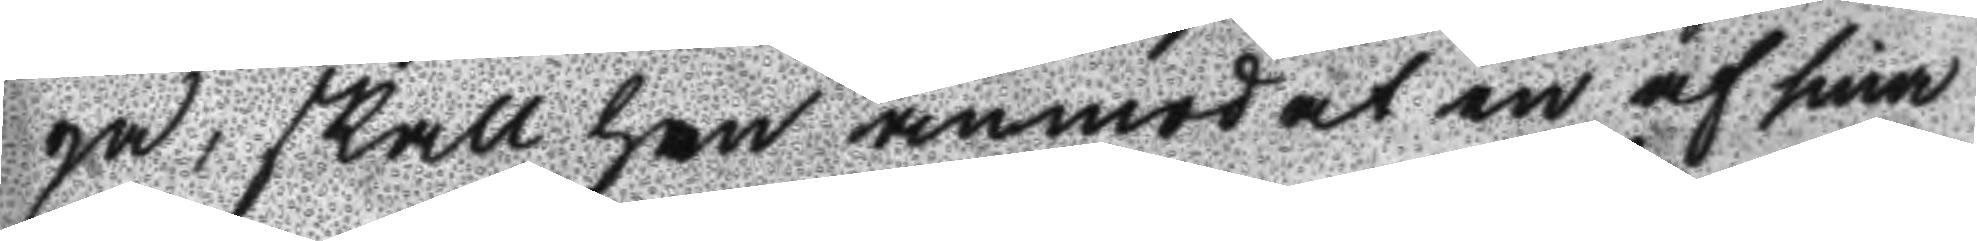ga: skall han anmodat en af sin
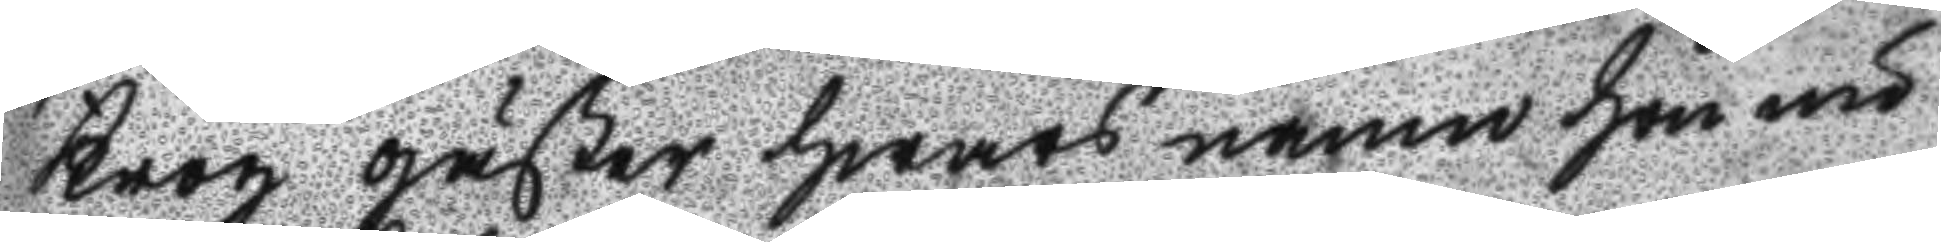Krog gäster hwars namn hon nu
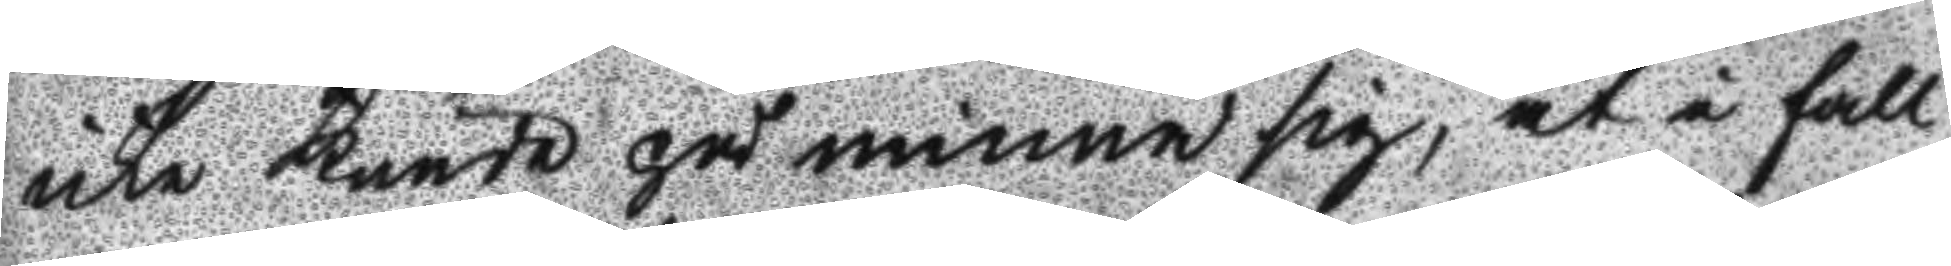icke kunde påminna sig, at i fall
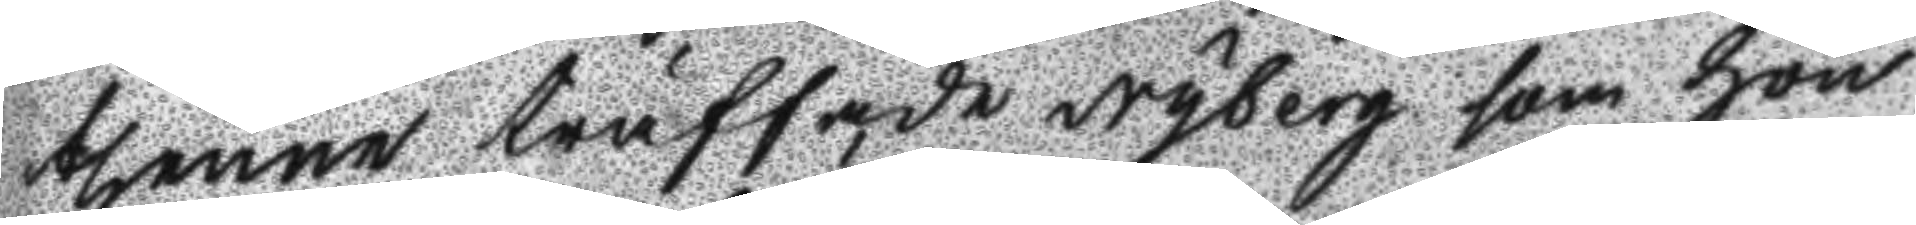thenne träffade Nyberg som hon
